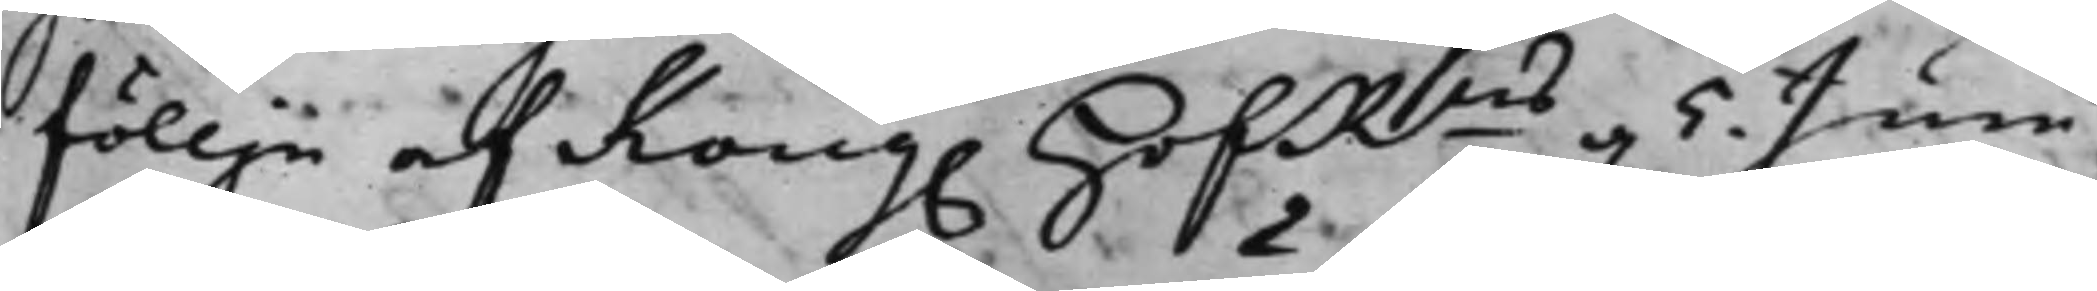föllje af Kong. HofRns d. 5 Junii
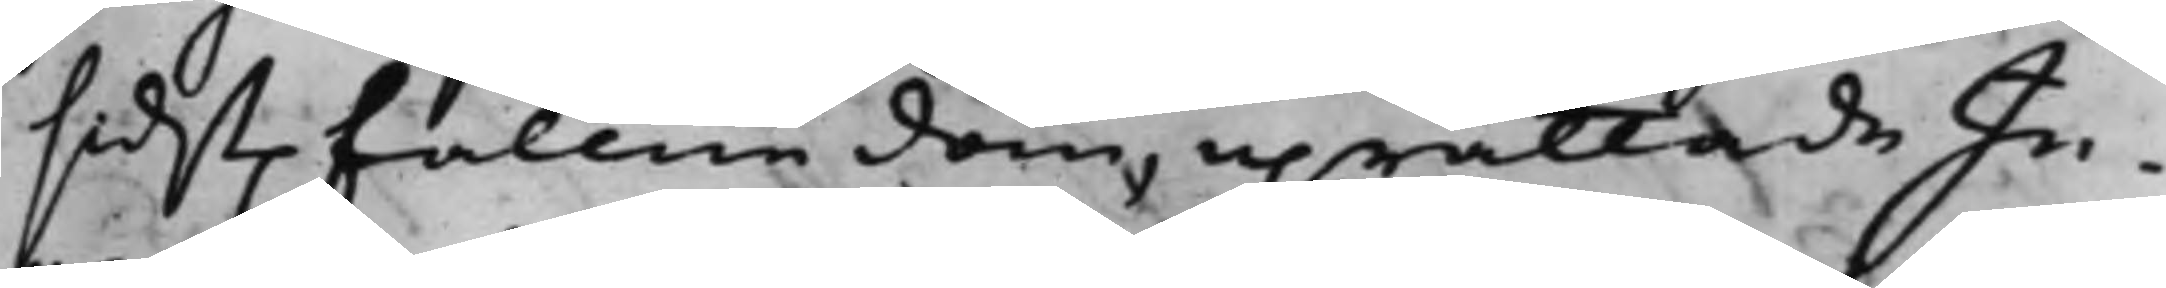sidst. fallne dom, uprättade In¬
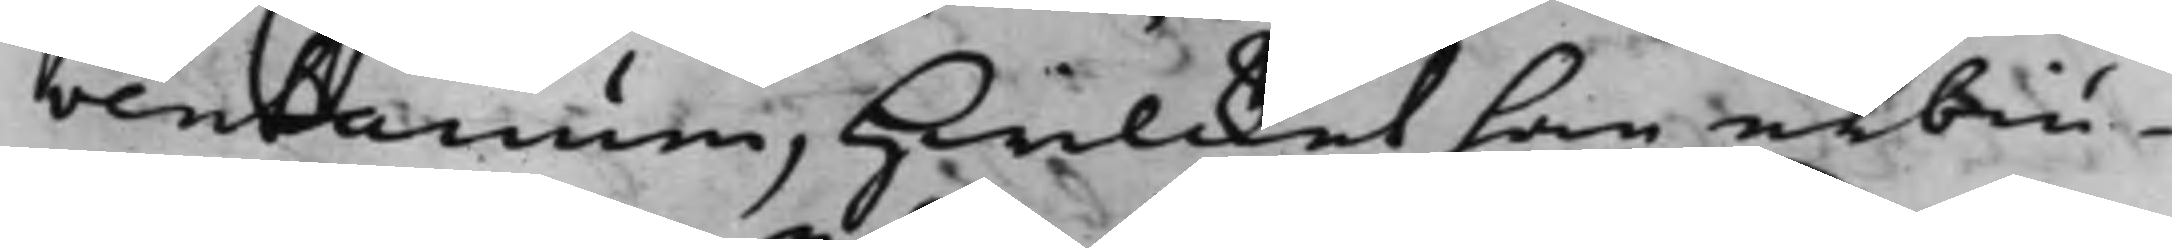ventarium, hwilcket han erbiu¬
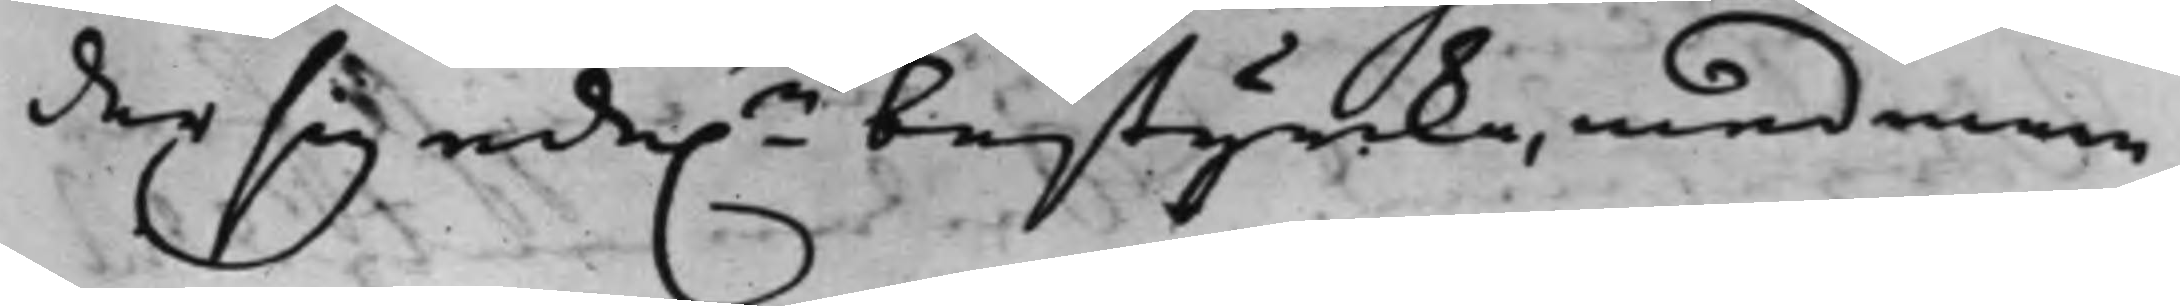der sig ede.n bestyrcka, med mera
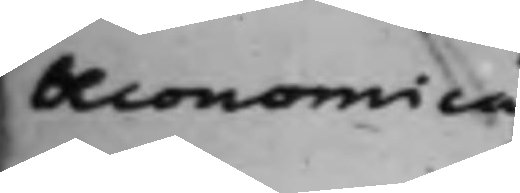Oeconomica
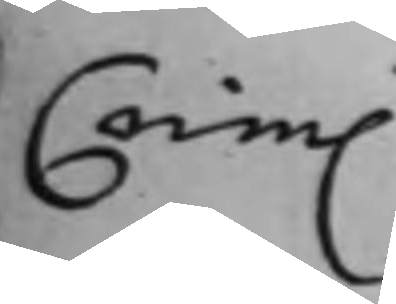Crim.
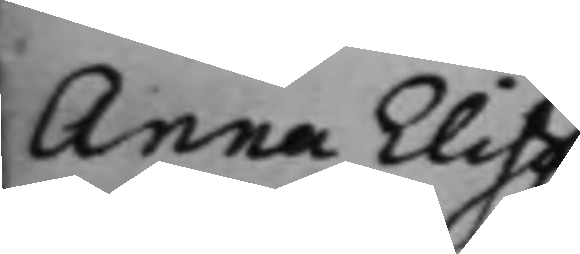Anna Elisa¬
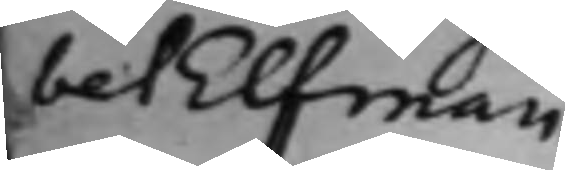bet Elfman
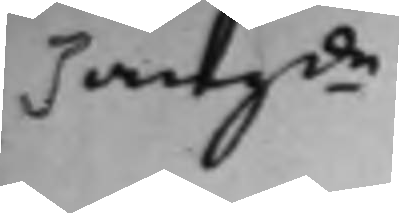angde
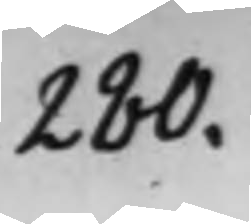280.
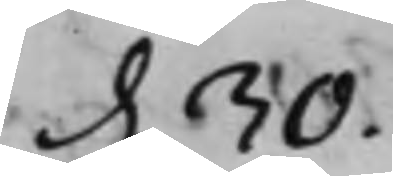d. 30.
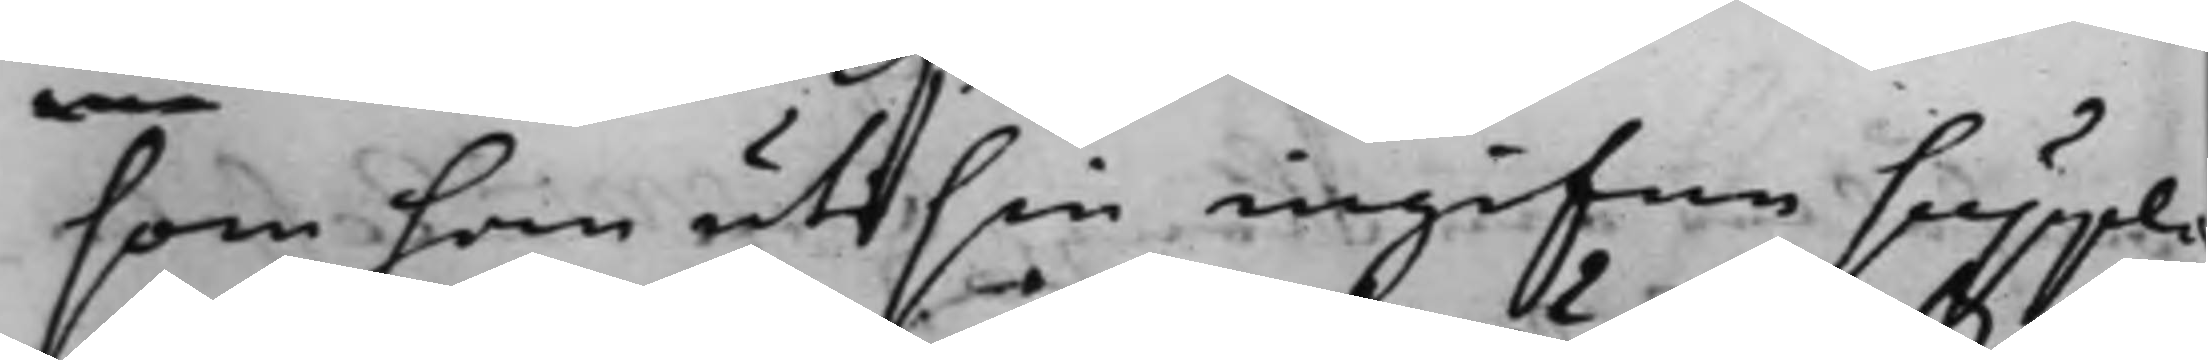som han uti sin ingifne suppli¬
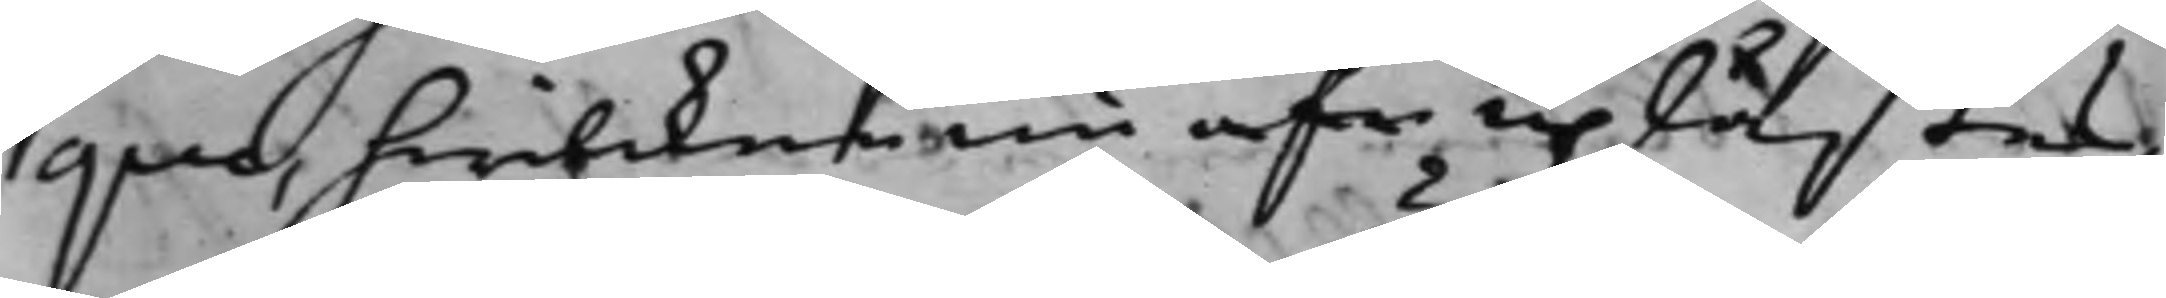que, hwilcken nu afw uplästes,
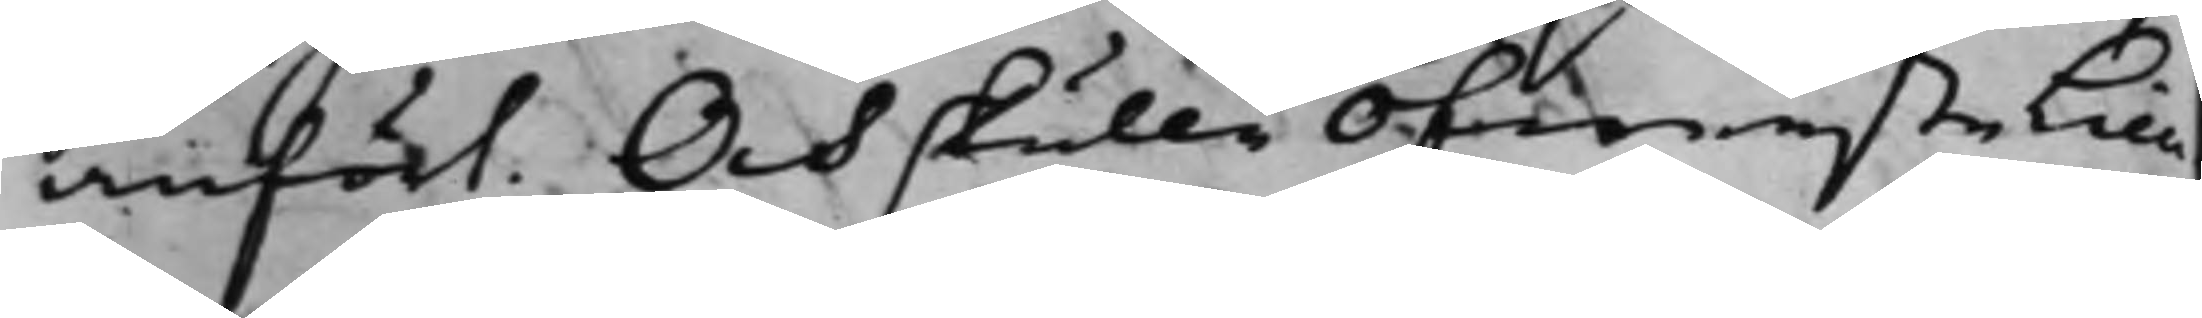anfört. Och skulle ÖfwerstetLieu¬
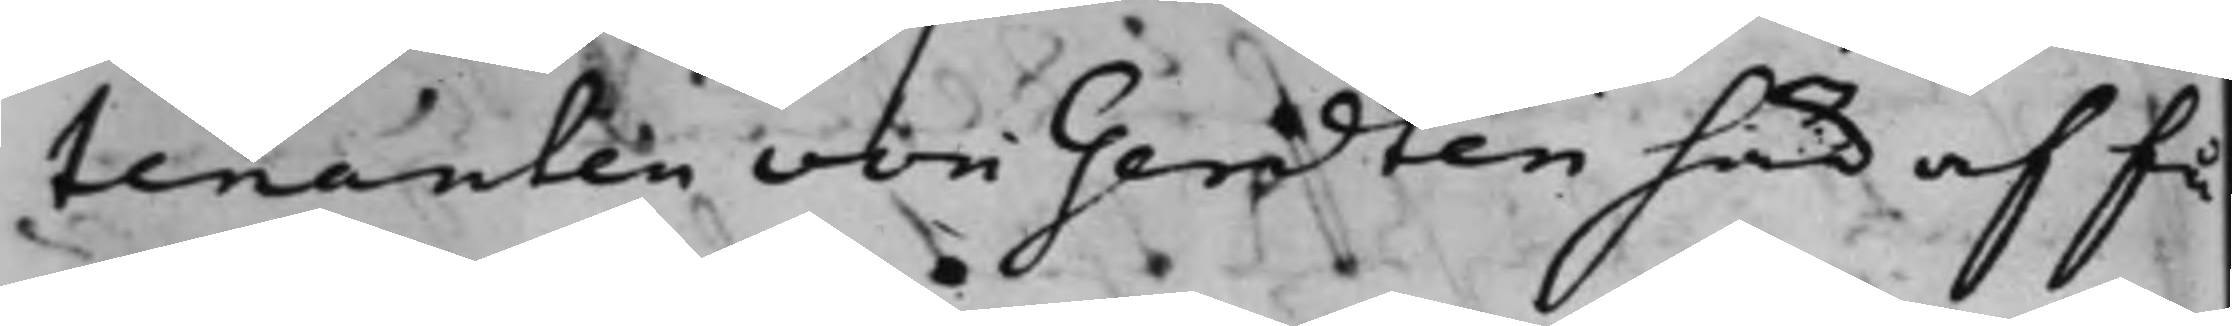tenanten von Gerdten här af få
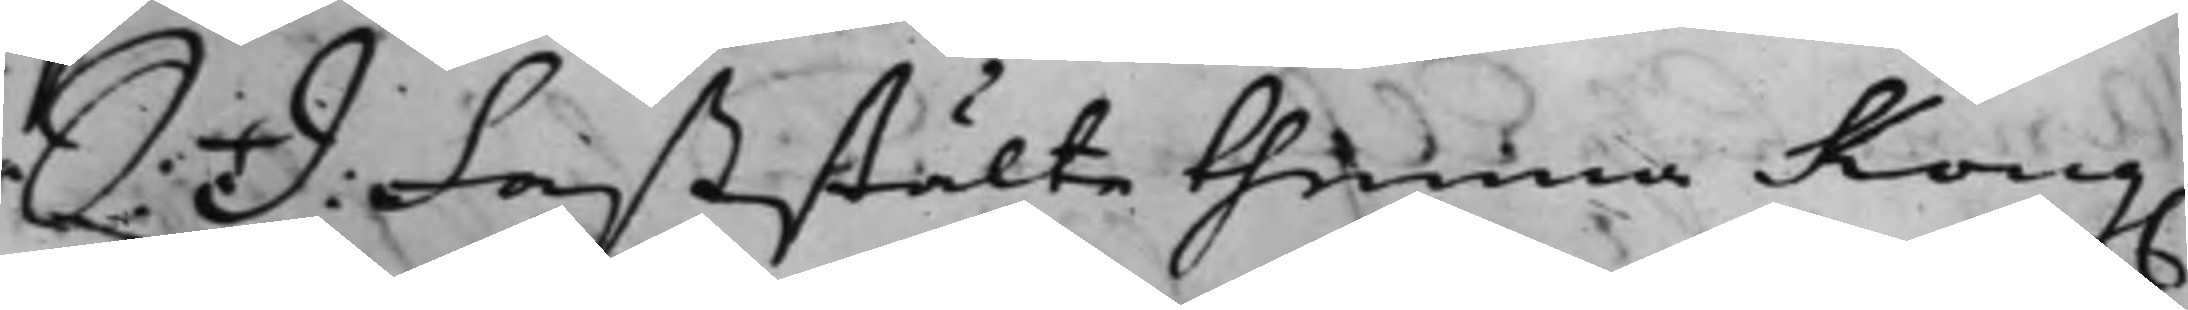S: D: Faststälte thenna Kong.
